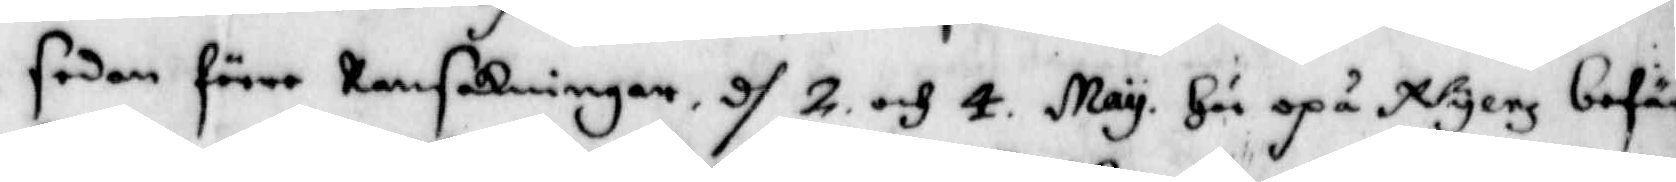sedan förre Ransakningen d 2 och 4 May Här opå Nyenz befä¬
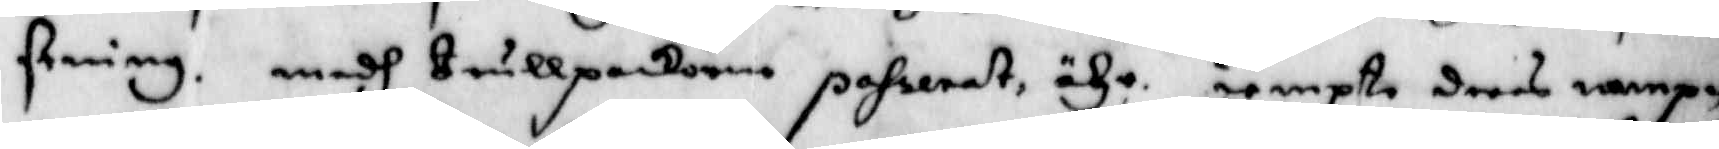stning. medh trullpackorne poserat ähr. iempte deras nampn
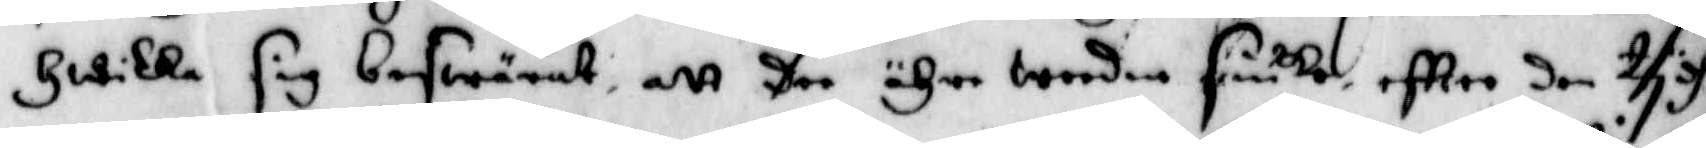Hwilka sig beswärat, att dee ähre worden siuka, eftter den tydh
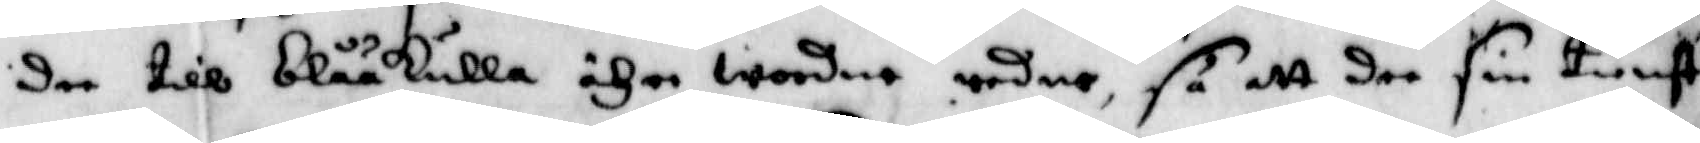dee till blååkulla ähre wordne redne, så att dee sin tienst
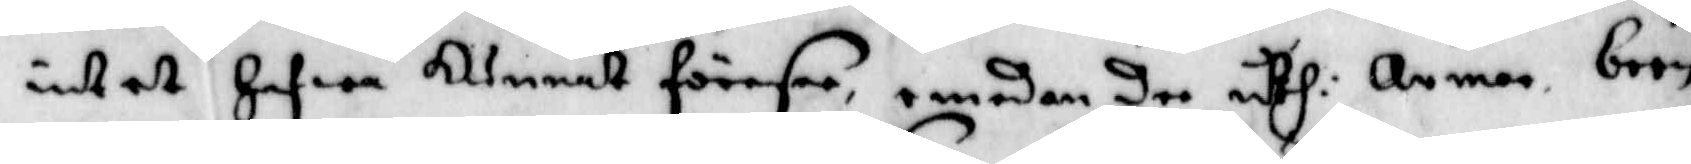intet Hafwa kunnat föresee, emedan dee uthi Armar, been
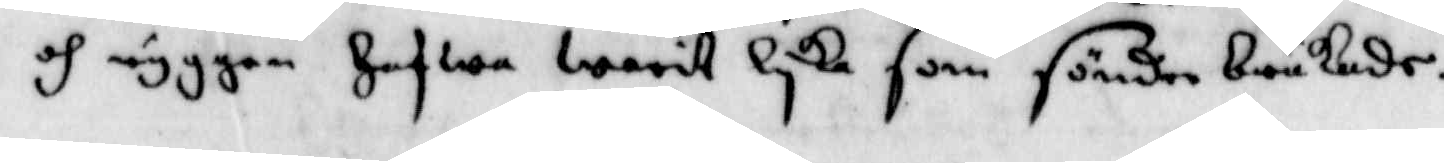och ryggen Hafwa Warit Lyka som sönder brukade.
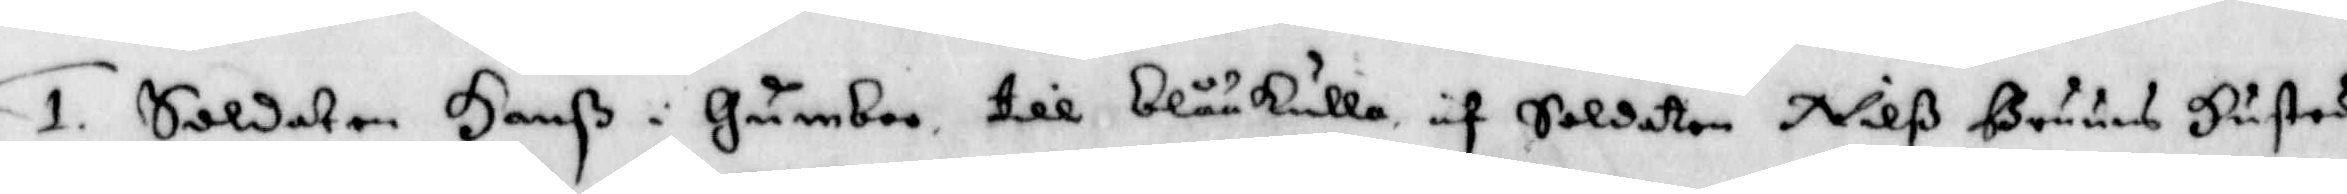1. Soldaten Hanß i Gumboo till blååkulla af Soldaten Nilß Bruuns Hustru
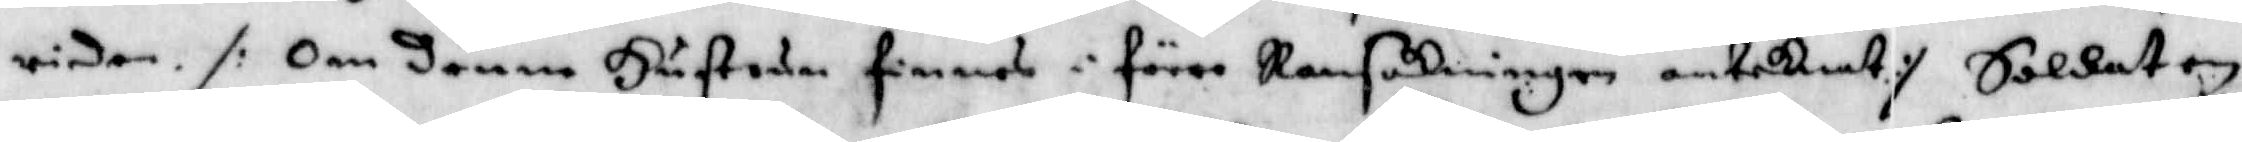riden /: Om denne Hustrun finnes i förre Ransakningen anteknat :/ Soldaten
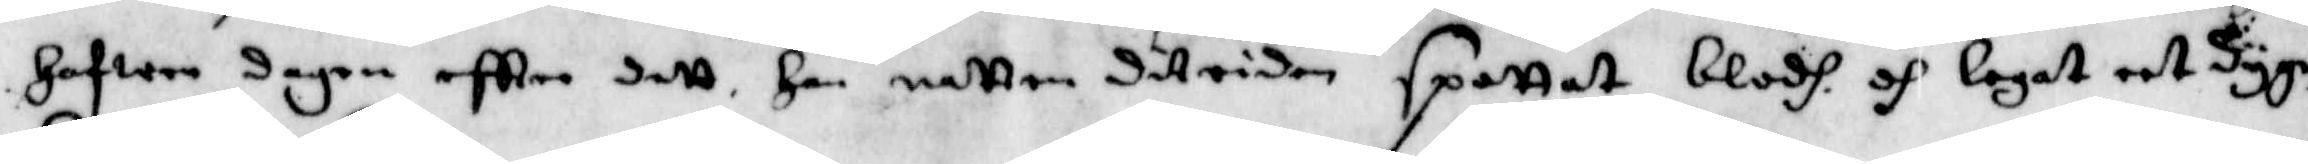Hafwer dagen eftter dett Han Natten ditriden spottat blodh och legat eet dygn
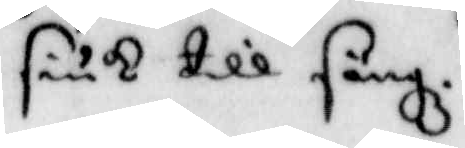siuk till sängz.
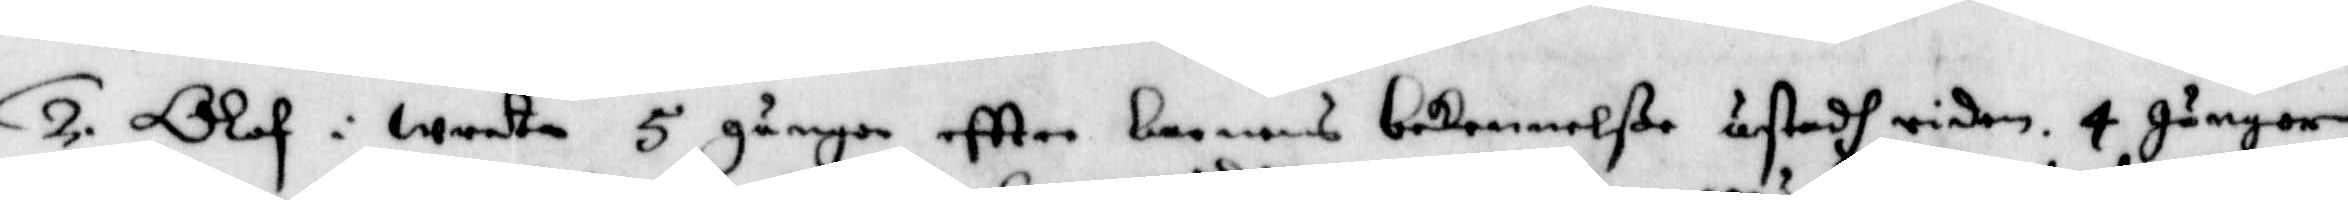2. Olof i wreta 5 gånger eftter narnens bekennelße åstadh riden, 4 gånger
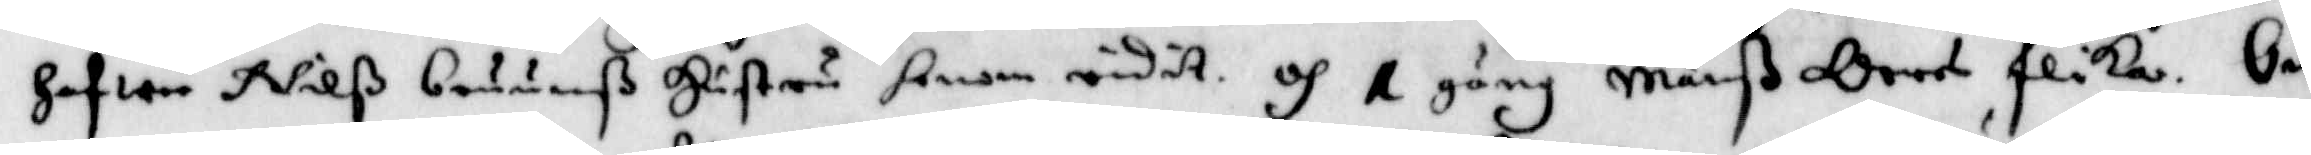Hafwa Nilß bruunß Hustru honom ridot, och 1 gång Månß Orres flika. Om 
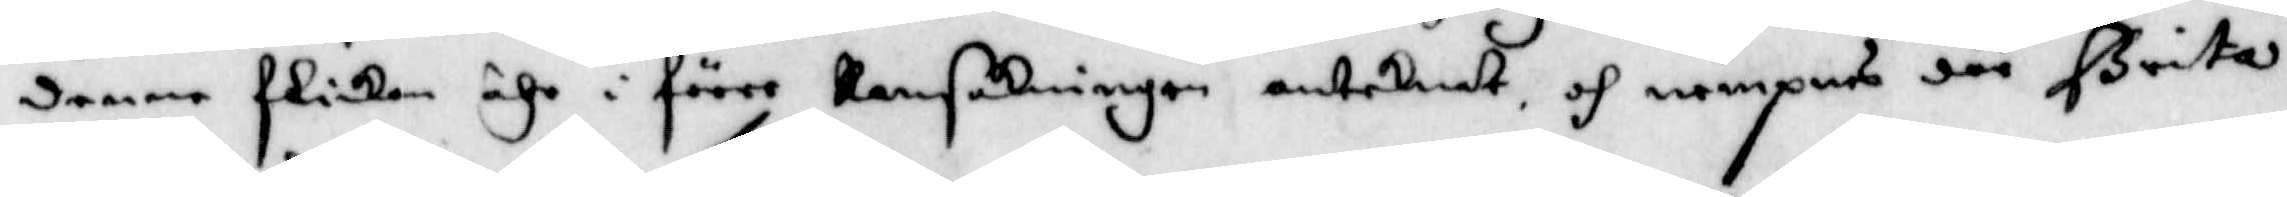denne flickan ähr i förre Ransakningen anteknat, och nampnes där Brita
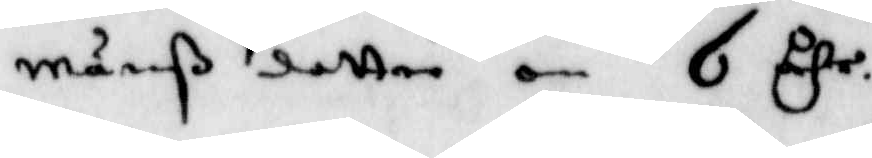Månßdotter om 6 åhr.
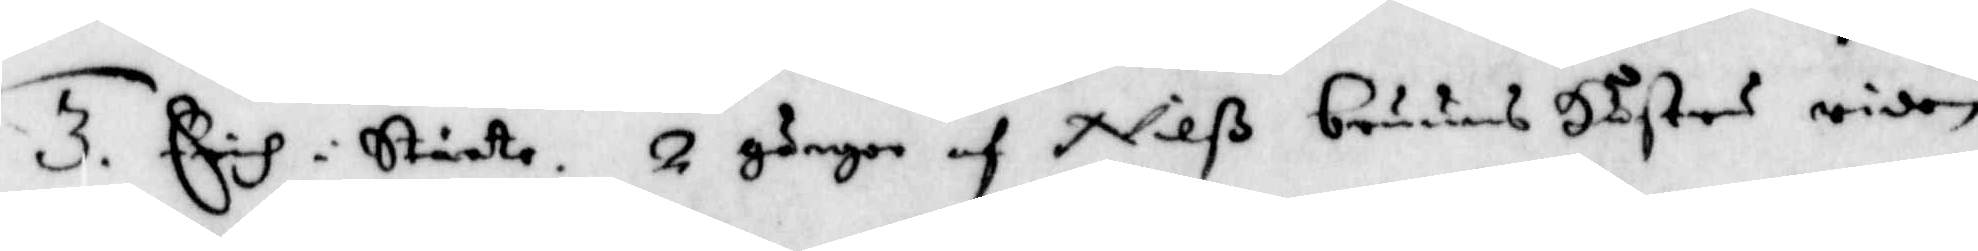3. Erich i Stårte. 2 gånger af Nilß bruuns Hustru riden.
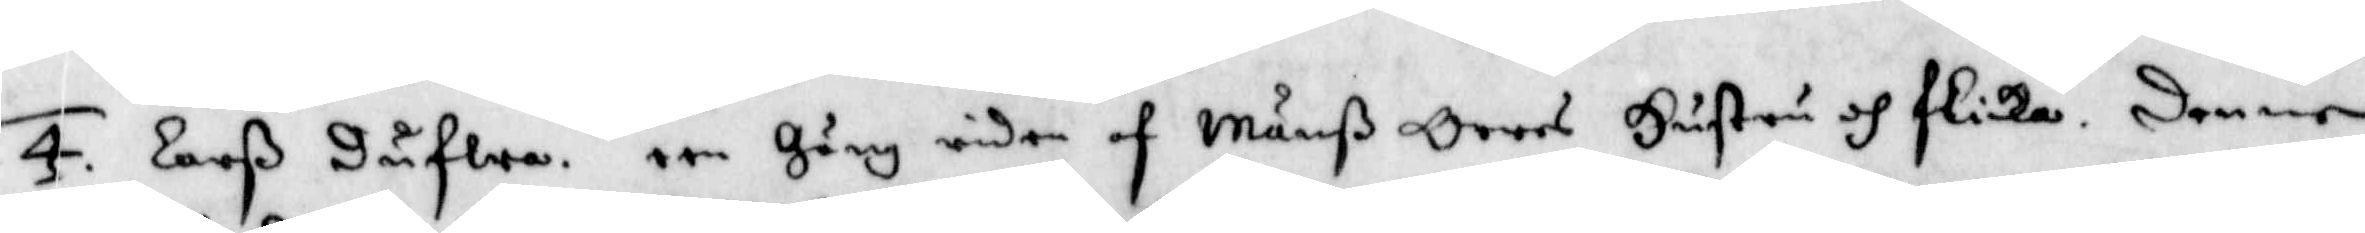4. Larß Dufwa, een Gäng riden af Månß Orres Hustru och flicka. Denne
